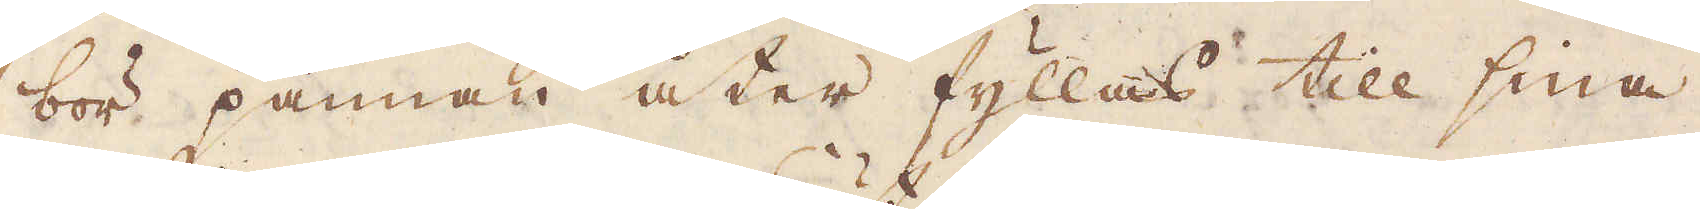bör pannan åter fyllas till sina
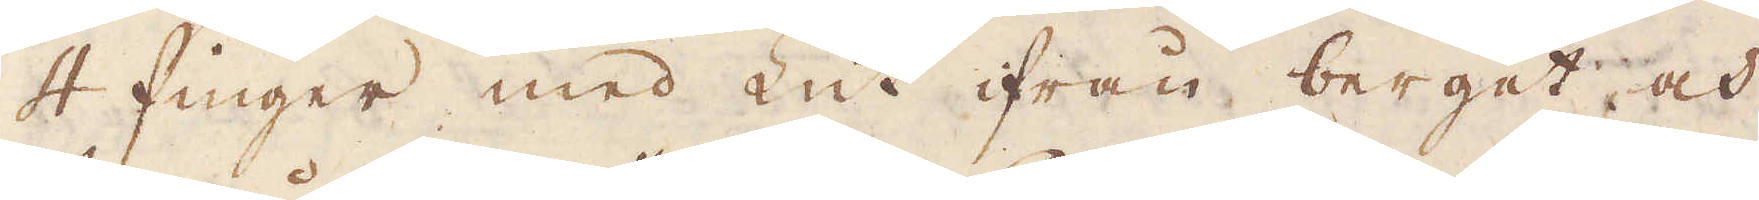4 finger med Lut ifrån berget, och
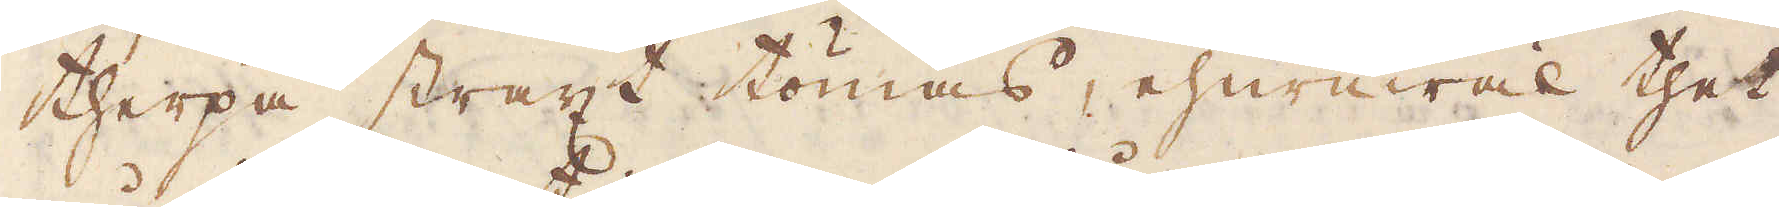therpå straxt tömas, ehuruwäl thet
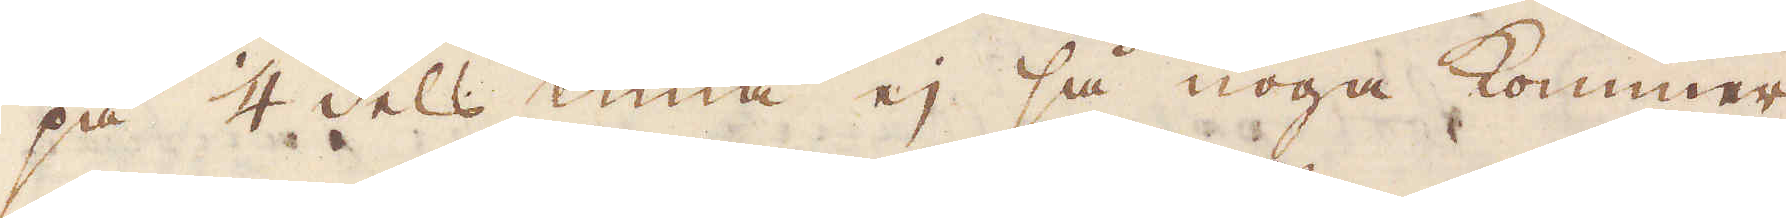på 1/4 dels tima ej så noga kommer
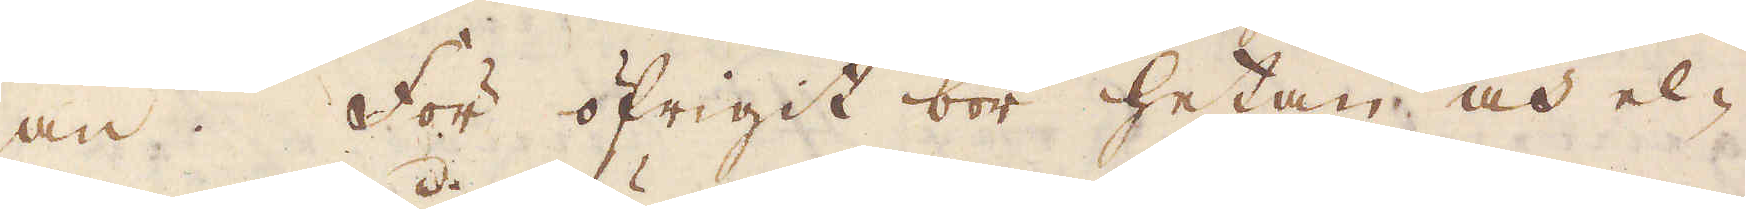an. För öfrigit bör hetan och el-
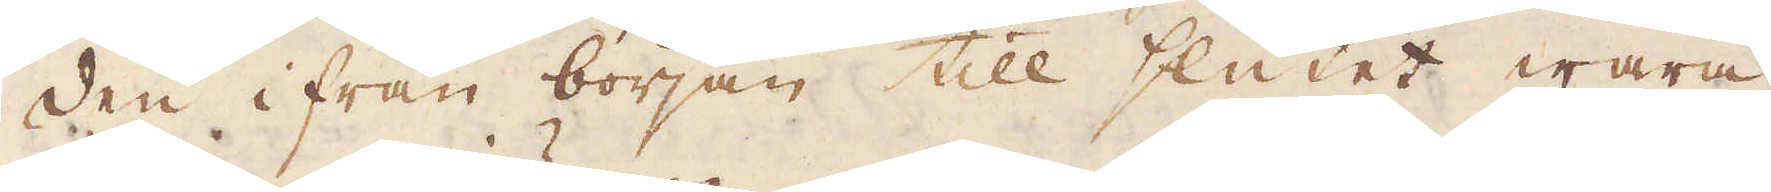den ifrån början till slutet wara
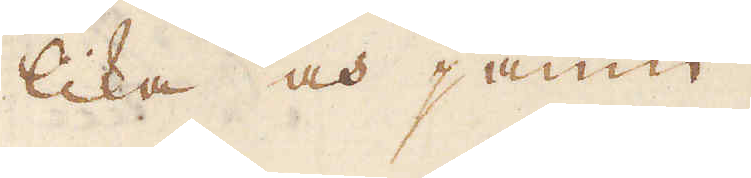lika och jämn.
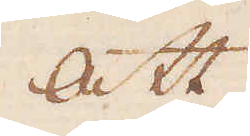Att
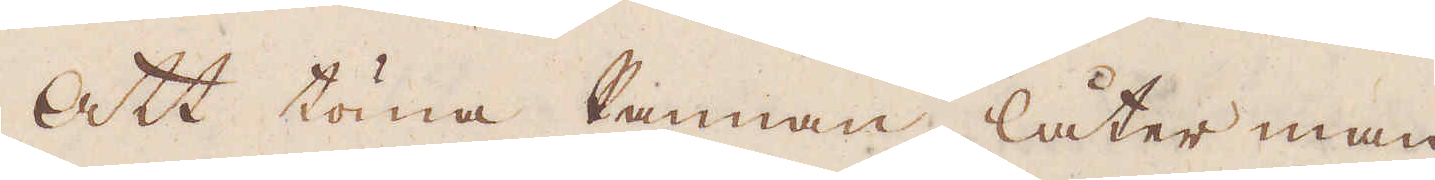Att töma Pannan, låter man
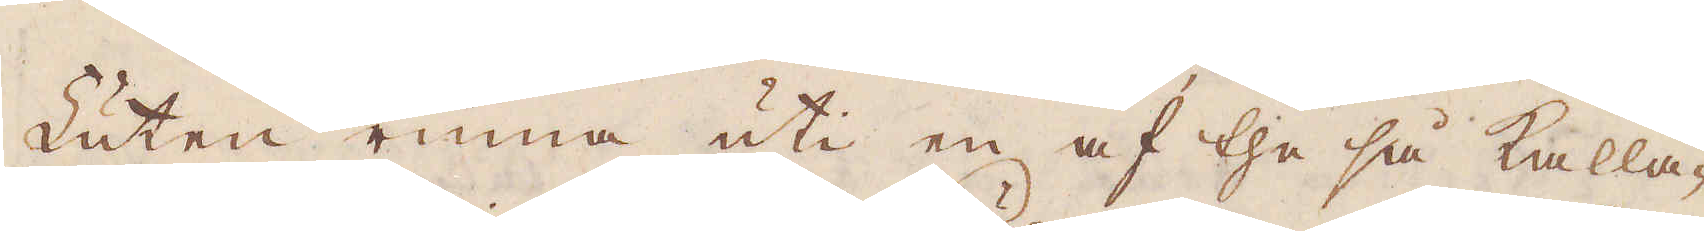Luten rinna uti en af the så kalla-
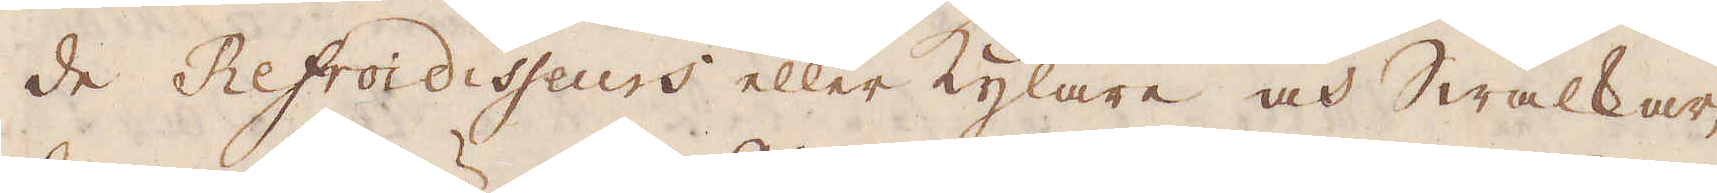de Refroidisseurs eller Kylare och Swalkar,
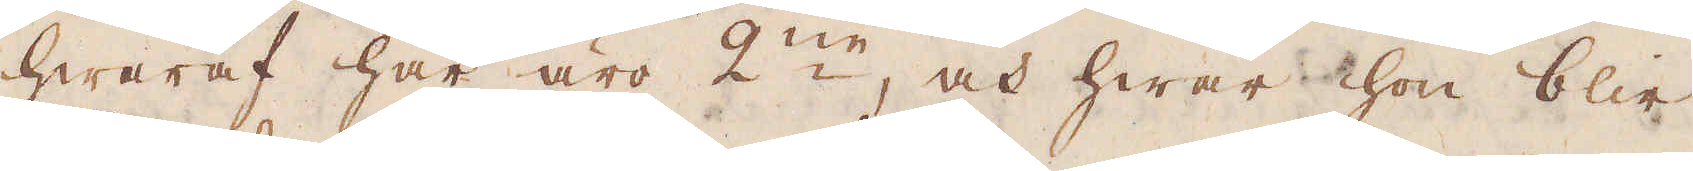hwaraf här äro 2:ne, och hwar hon blir
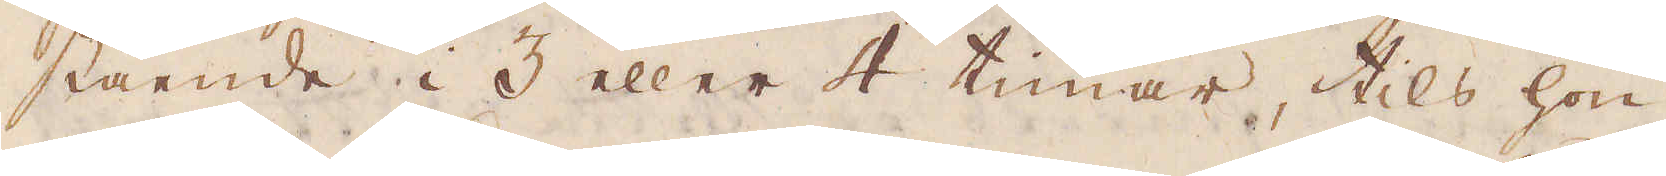stående i 3 eller 4 timar, tils hon
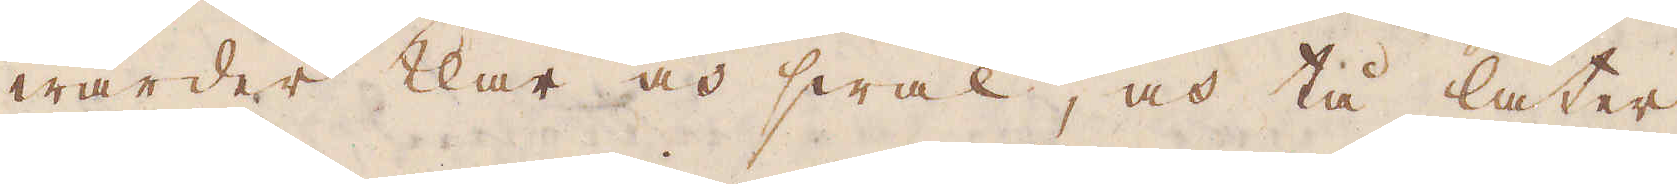warder klar och swal, och tå låter
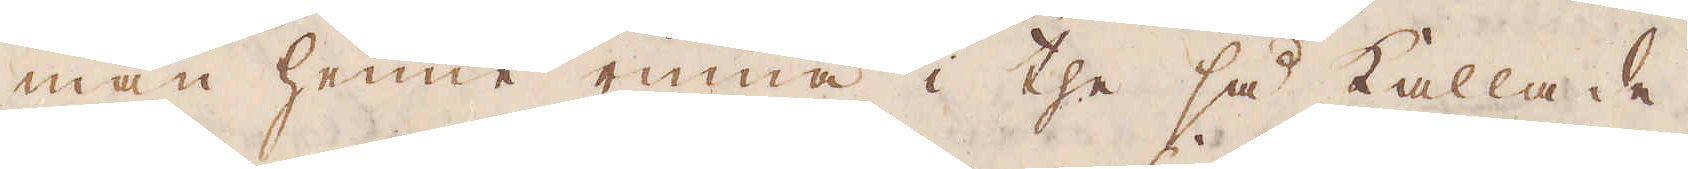man henne rinna i the så kallade
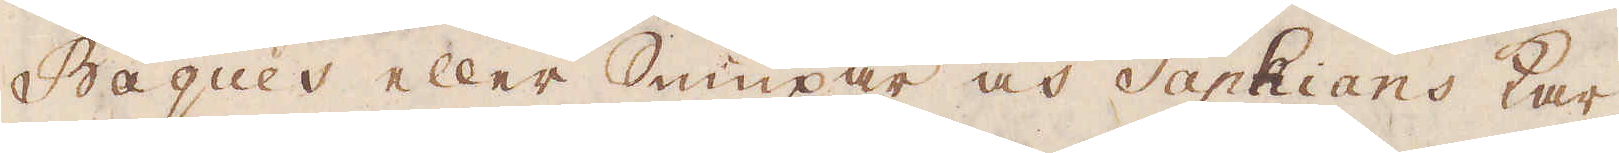Bagues eller Sumpar och Saphians kar
